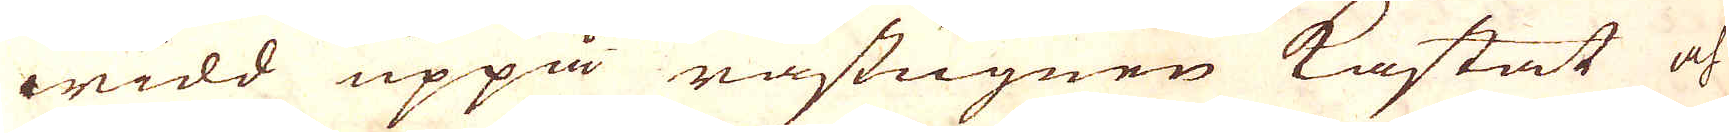widd uppå råstugnen kastat och
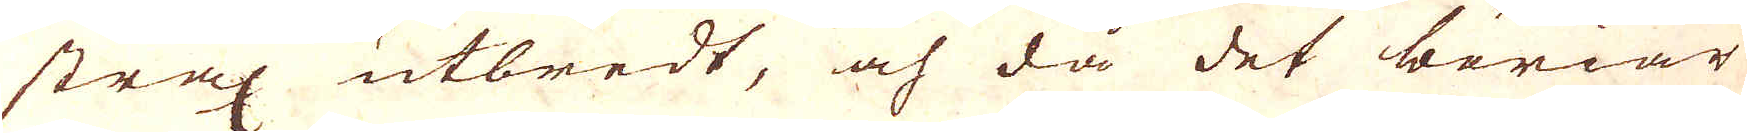strax utbredt, och då det böriar
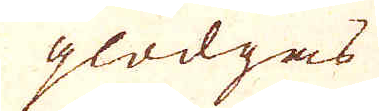glödgas
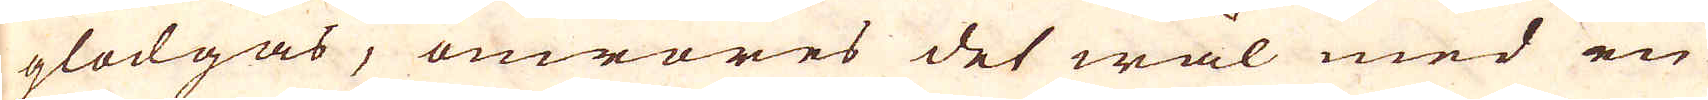glödgas, omröres det wäl med en
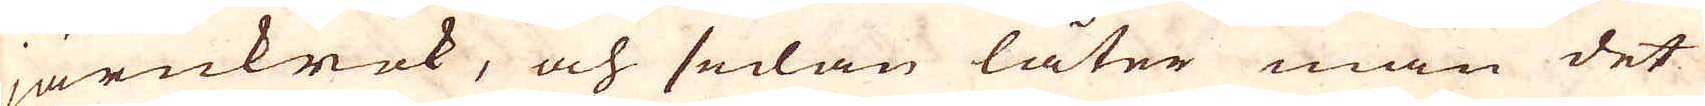järnkrok, och sedan låter man det
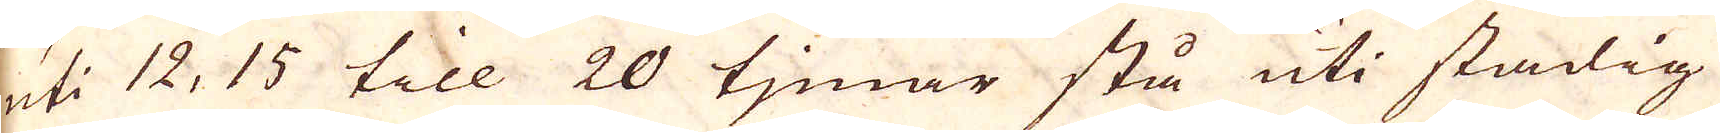uti 12, 15 till 20 tjmar stå uti stadig
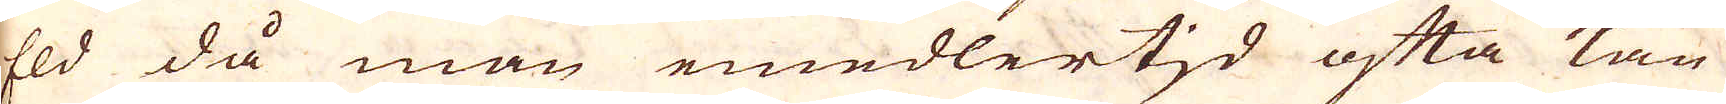Eld då man emedlertid ofta kan
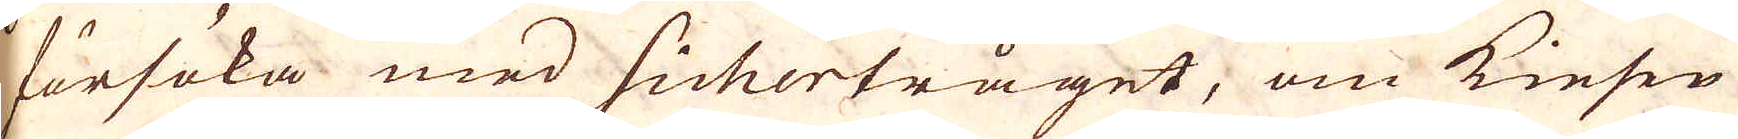försöka med sichertråget, om Kiesen
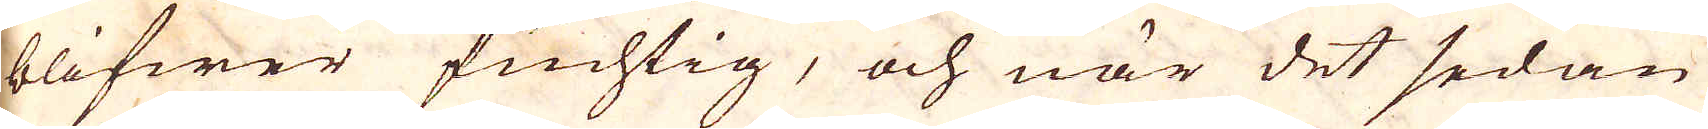blifwer fuchtig, och när det sedan
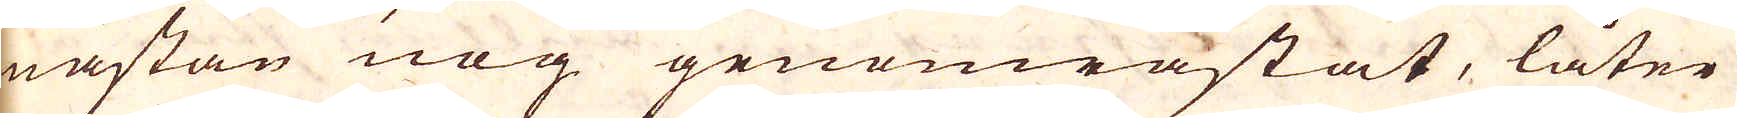nästan nog genområstat, låter
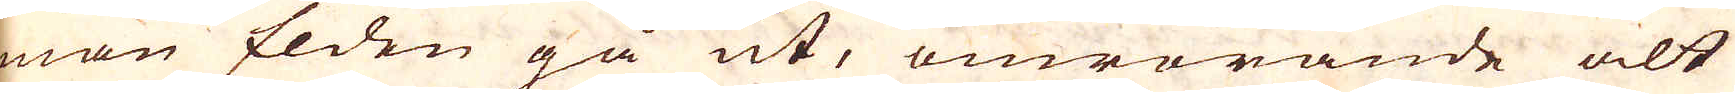man Elden gå ut, omrörande alt
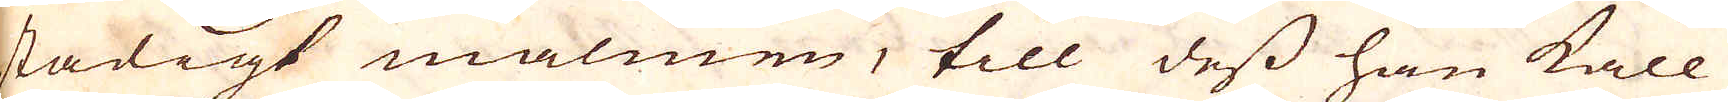stadigt malmen, till dess han kall
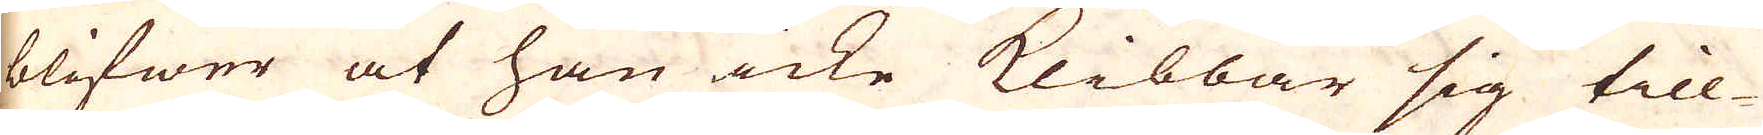blifwer at han icke klibbar sig till-
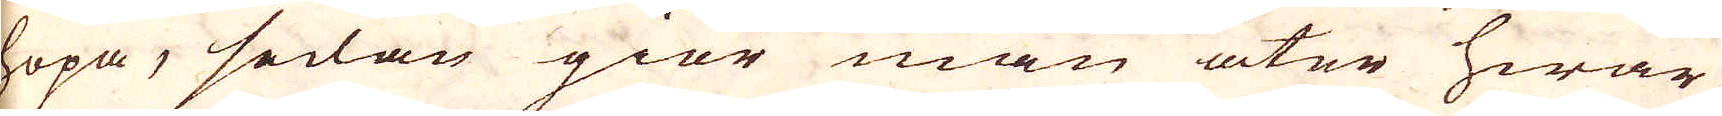hopa, sedan giör man åter hwar
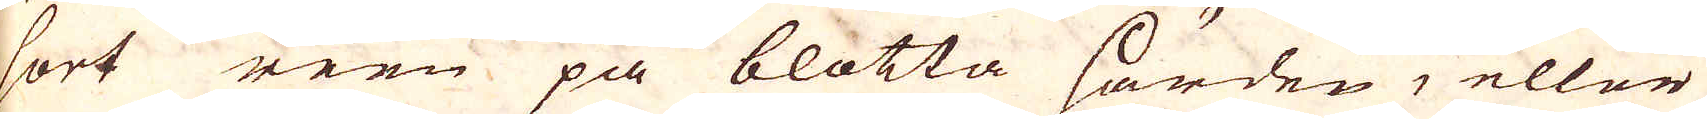sort reen på blotta härden, eller
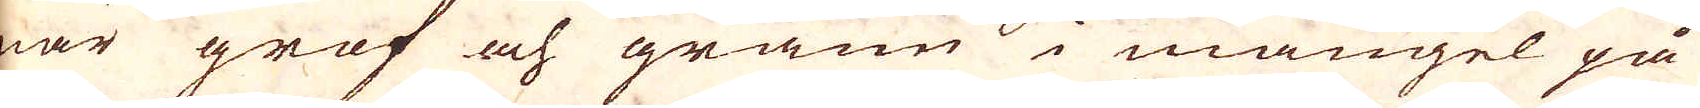när grof och grann i mangel på
